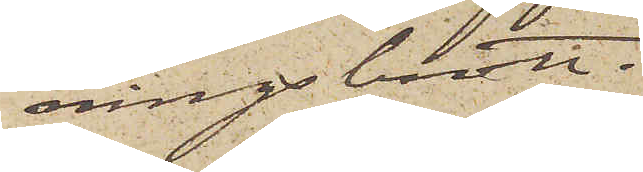ningsbrott.
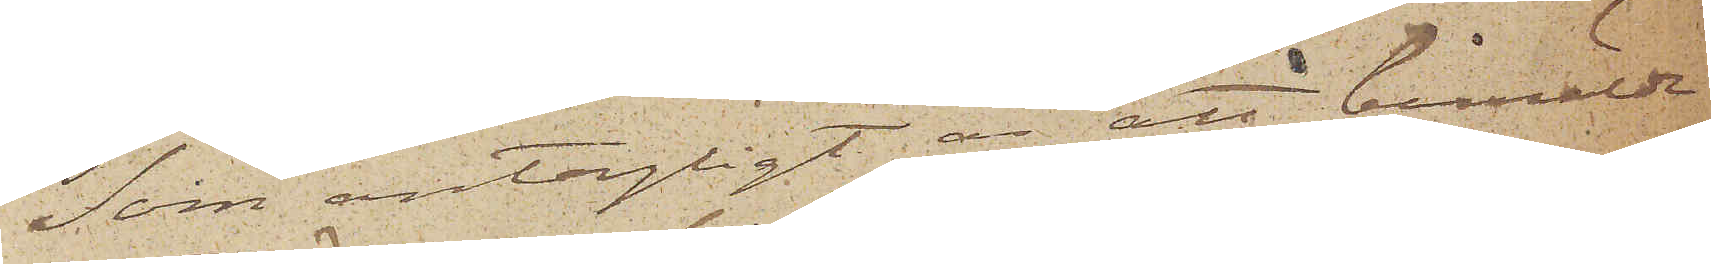Som antagligt är att berörde
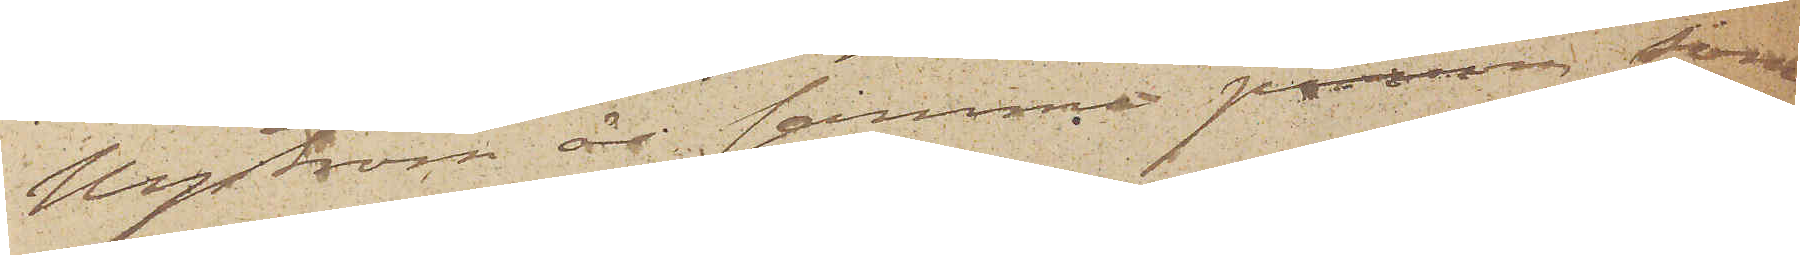Nyström är samma person som
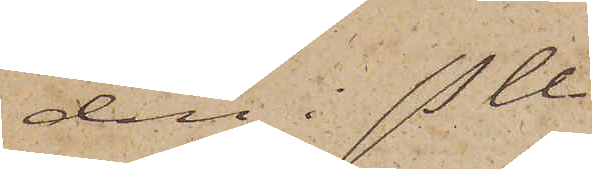den i P U
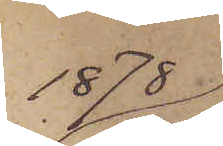1878
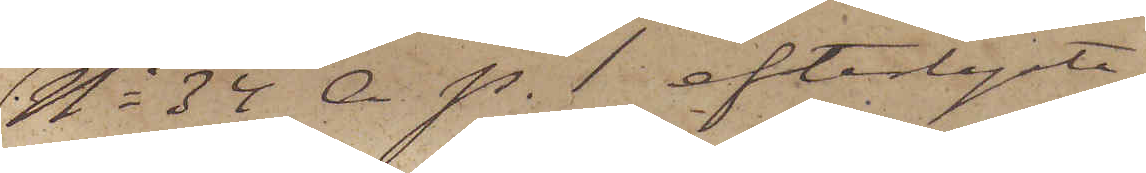No 34 A. p. 1 efterlyste
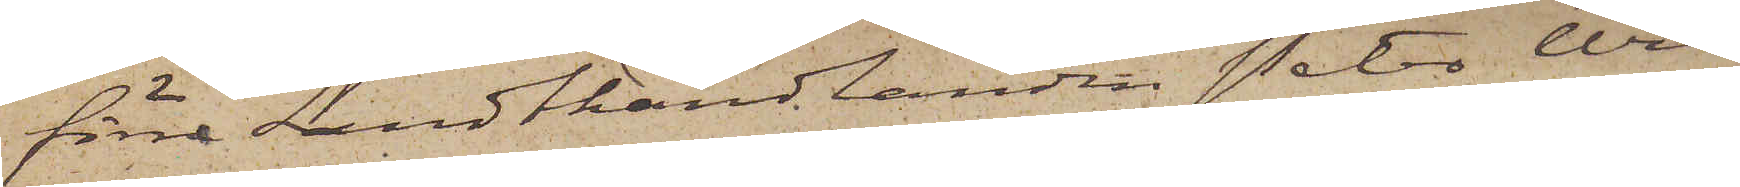förre Landthandlanden Peter Wil¬
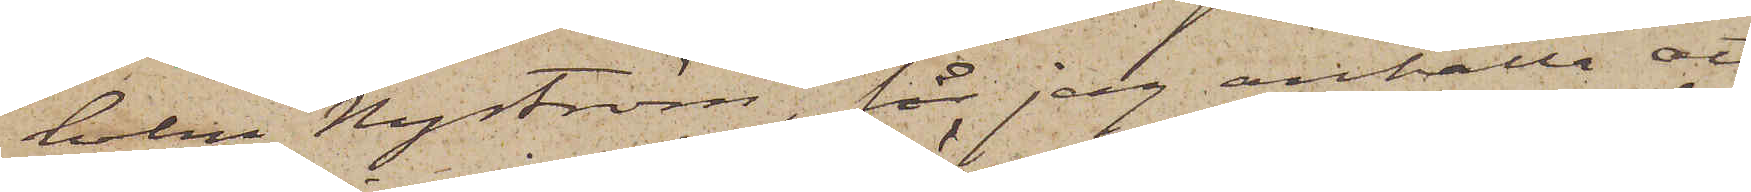helm Nyström, får jag anhålla att
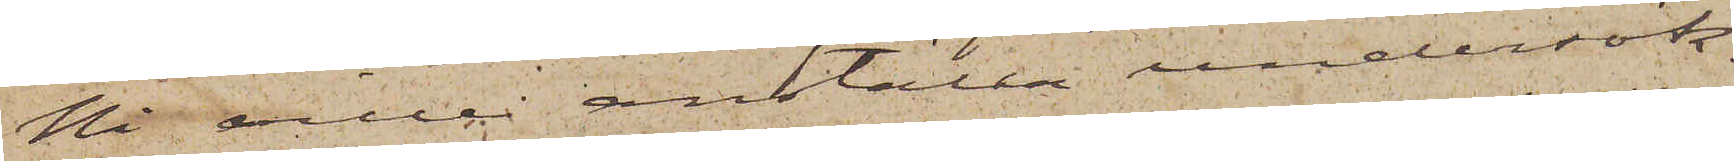Ni ville anställa undersök¬
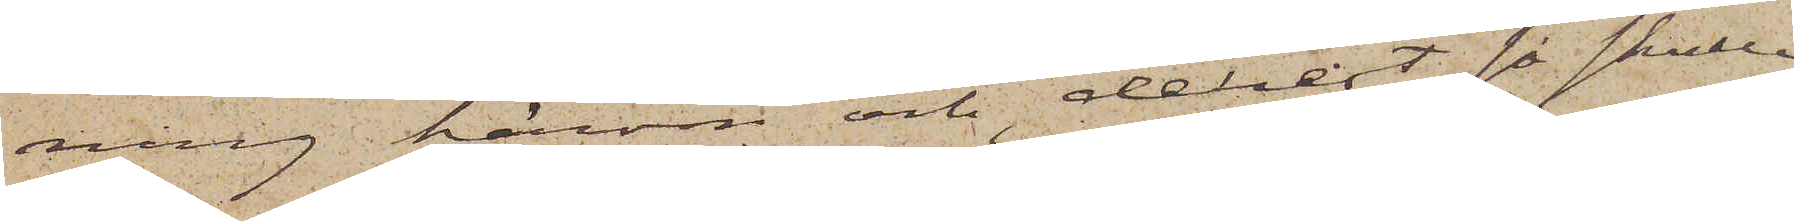ning härom och derest så skulle
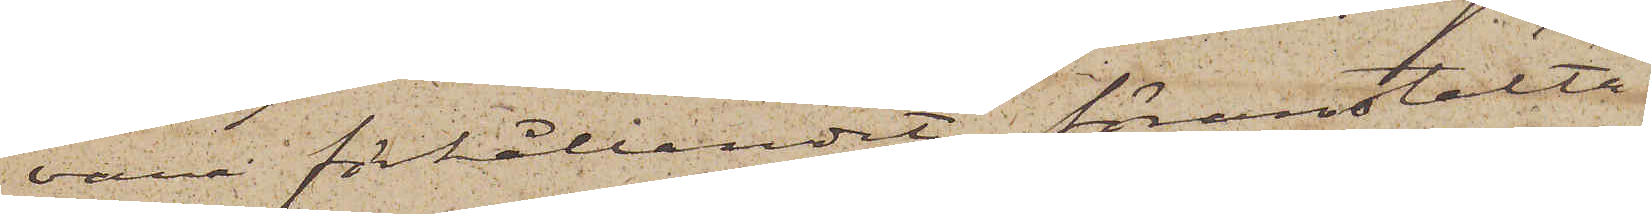vara förhållandet, föranstalta
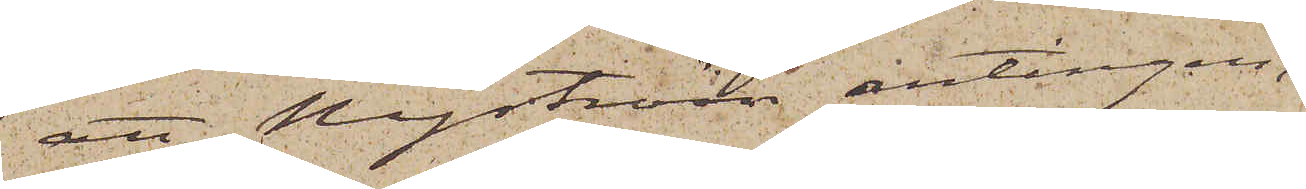att Nyström antingen
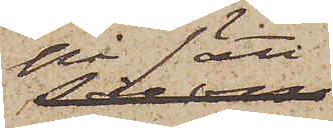på sätt
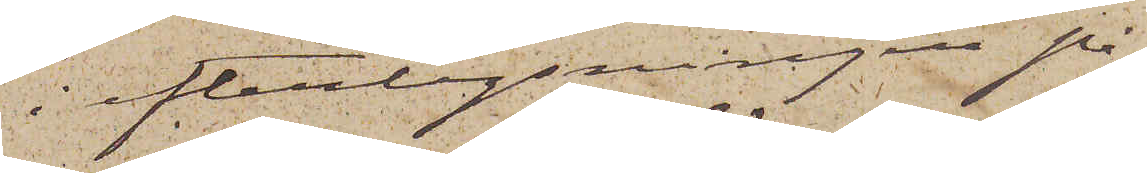i efterlysningen på¬
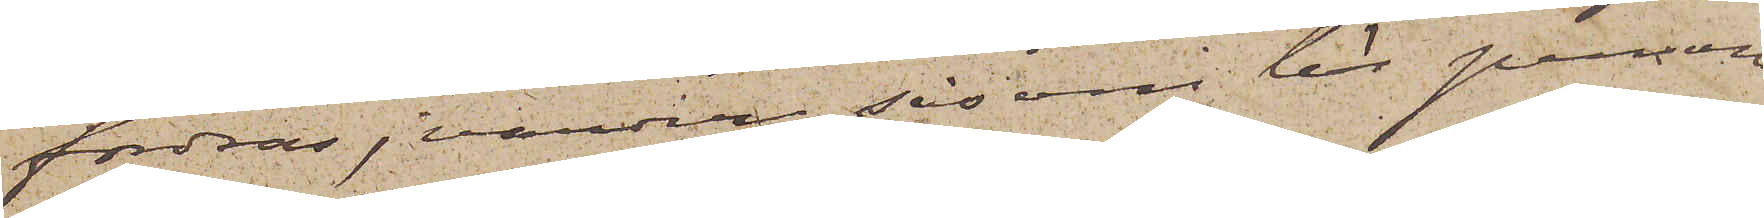fordras, varder såsom lös person
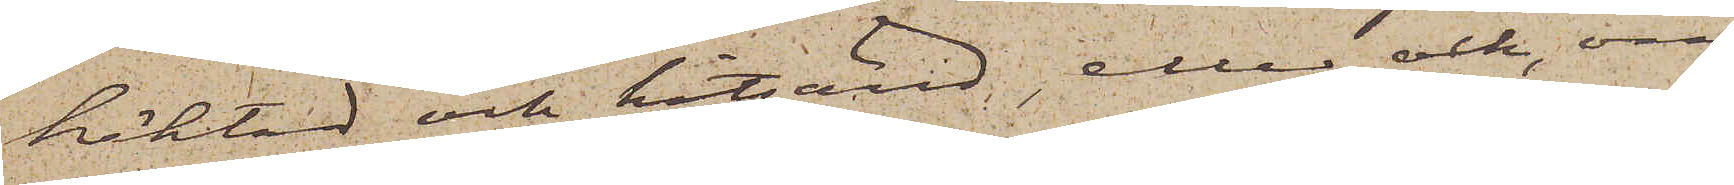häktad och hitsänd, eller ock, om
